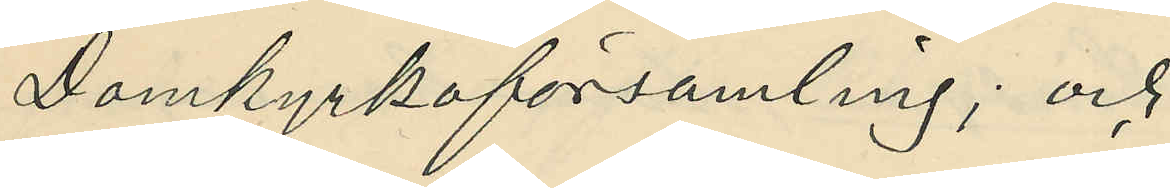Domkyrkoförsamling; och
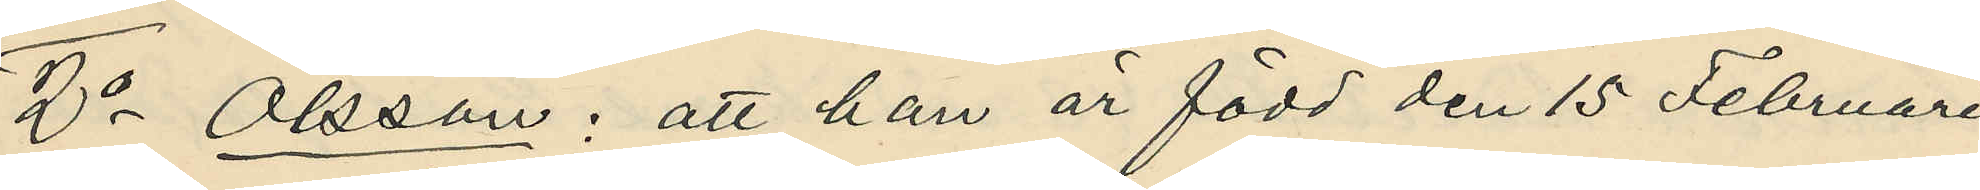2o Olsson: att han är född den 15 Februari
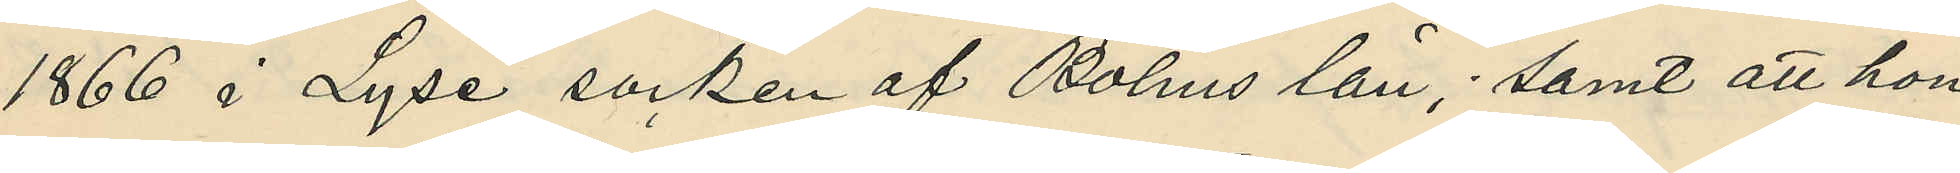1866 i Lyse socken af Bohus län; samt att han
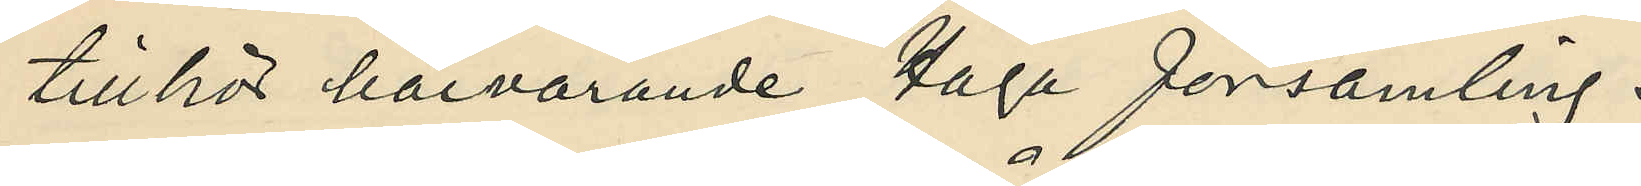tillhör härvarande Haga församling.
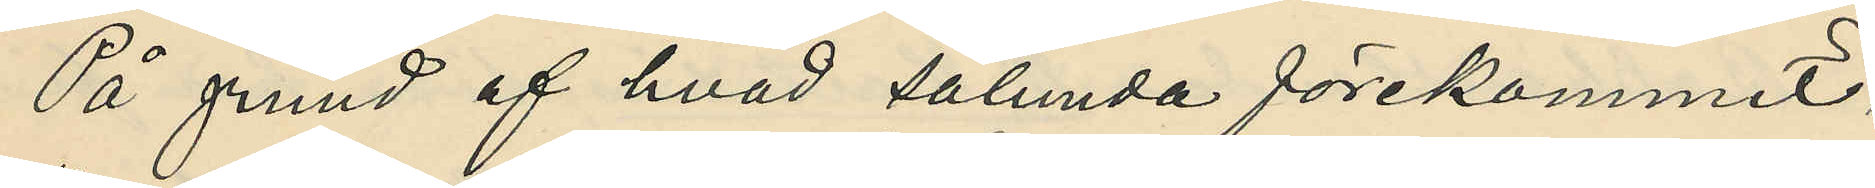På grund af hvad sålunda förekommit,
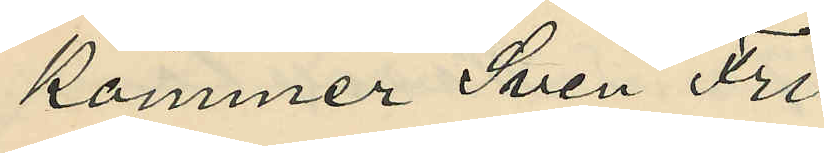kommer Sven Fri¬
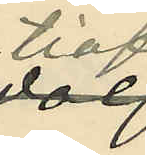tiof
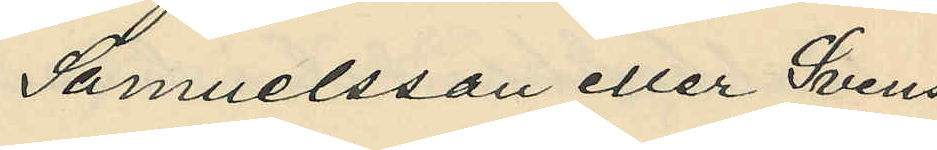Samuelsson eller Svens¬
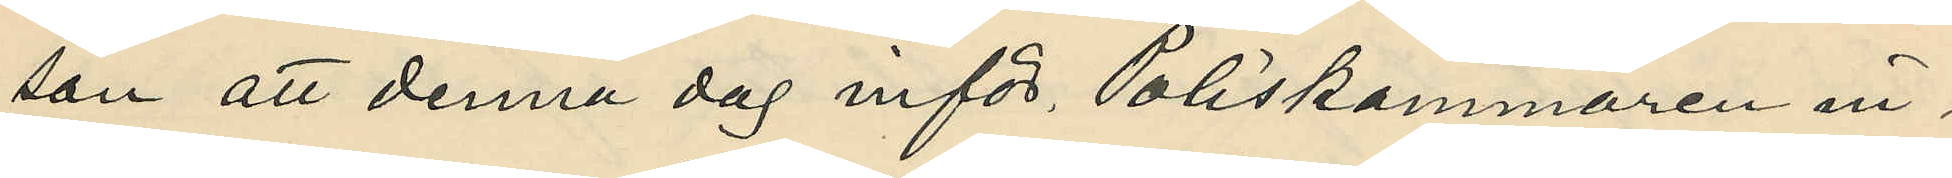son att denna dag inför Poliskammaren in¬
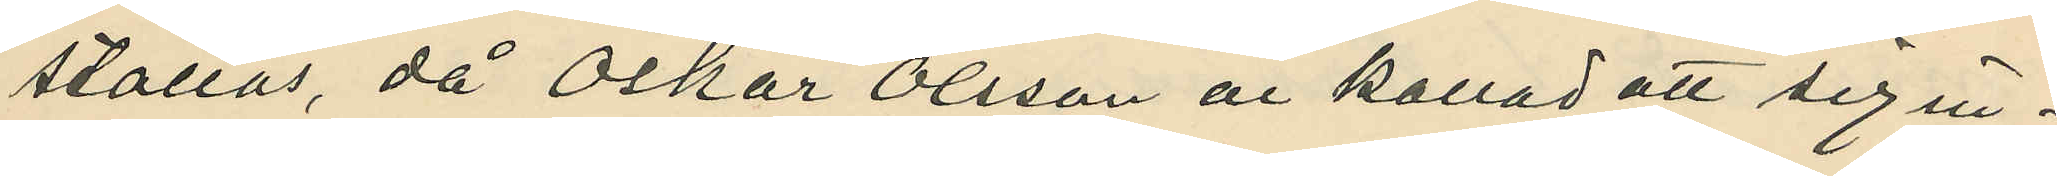ställas, då Oskar Olsson är kallad att sig in¬
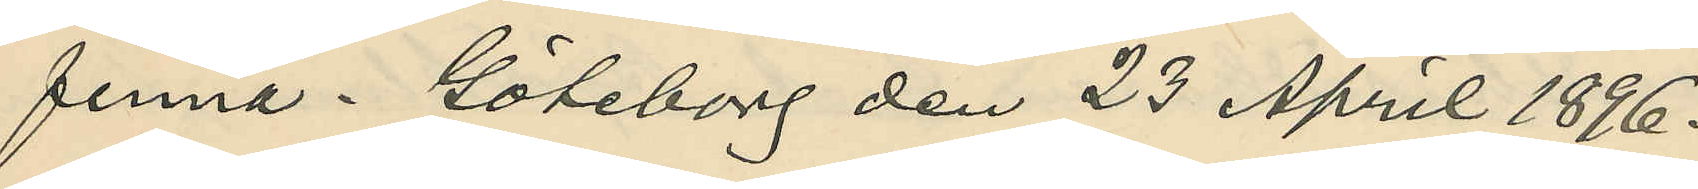finna. Göteborg den 23 April 1896.
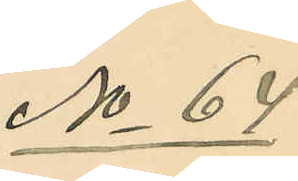No 64
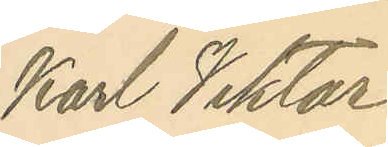Karl Viktor
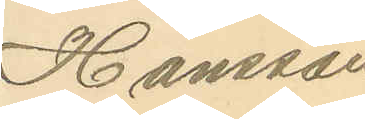Hansson
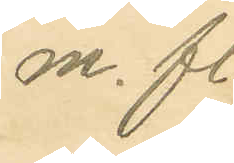m. fl.
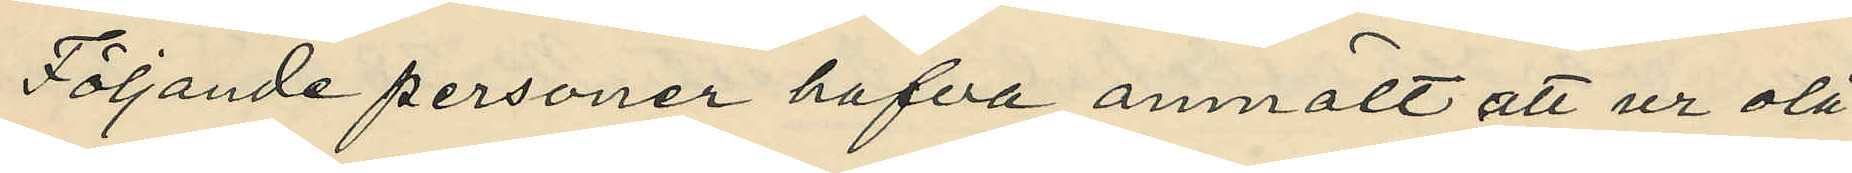Följande personer hafva anmält att ur olå¬
